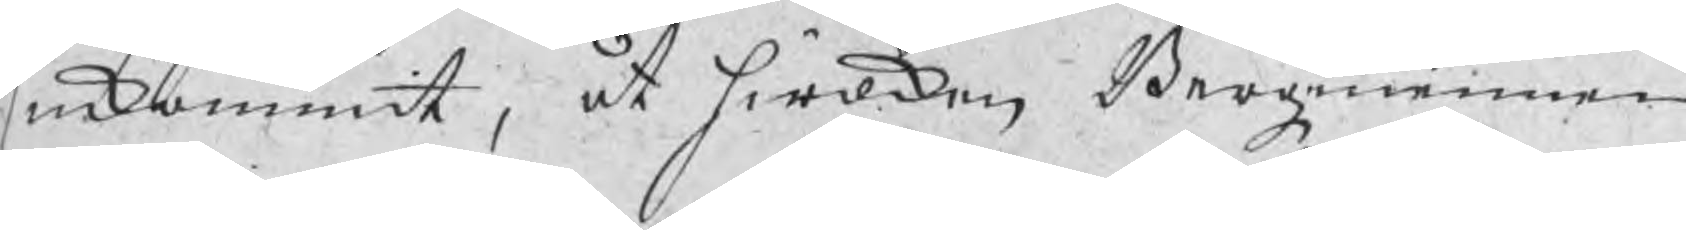inkommit, åt hwilken Bergzmannen
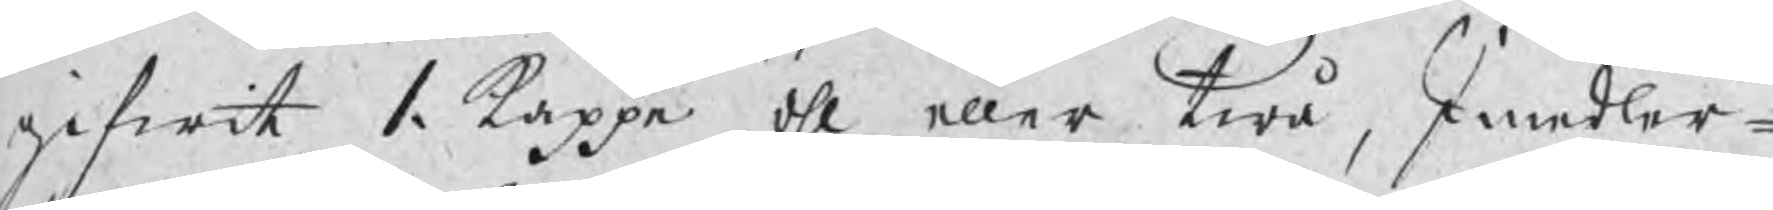gifwit 1. kappe öhl eller twå, Imedler¬
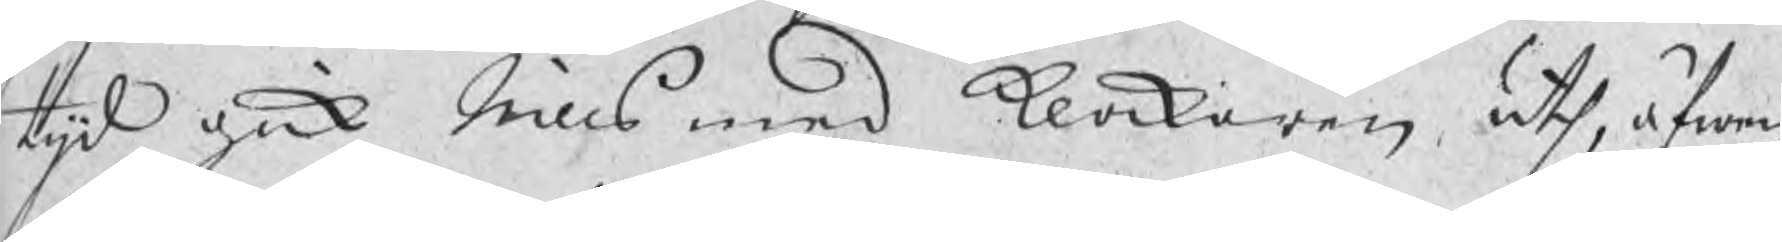tijd gick Nills med klockaren uth, äfwen
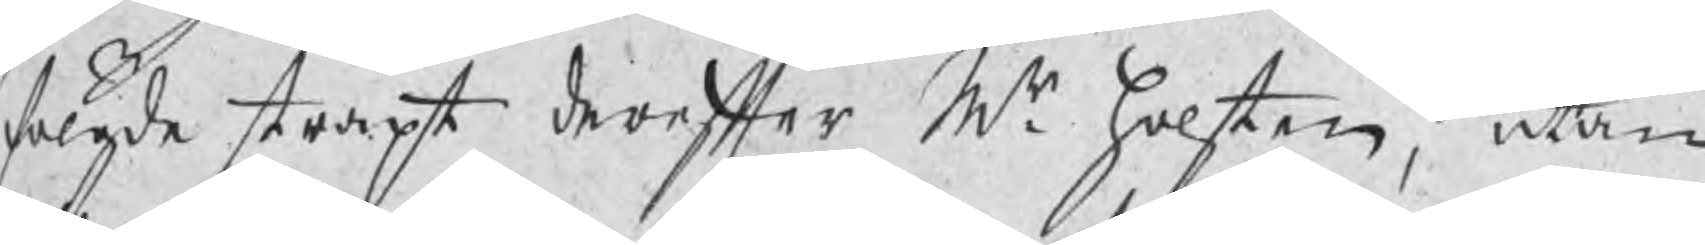fölgde straxt derefter Mr. Holsten, utan
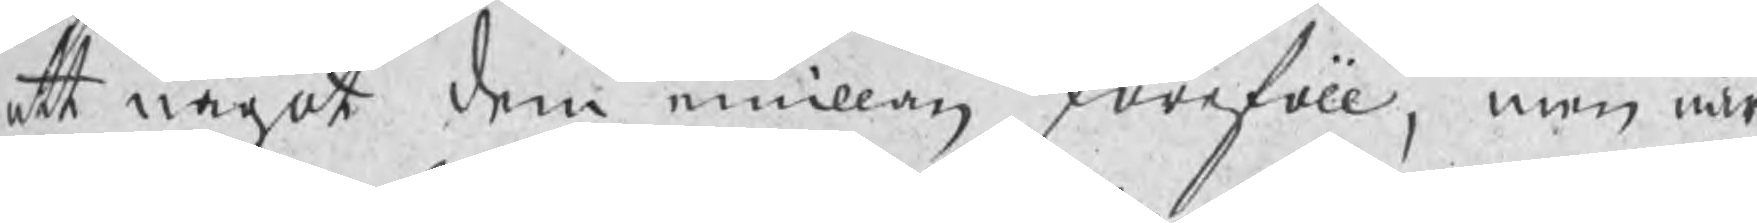att något dem emillan föreföll, men när
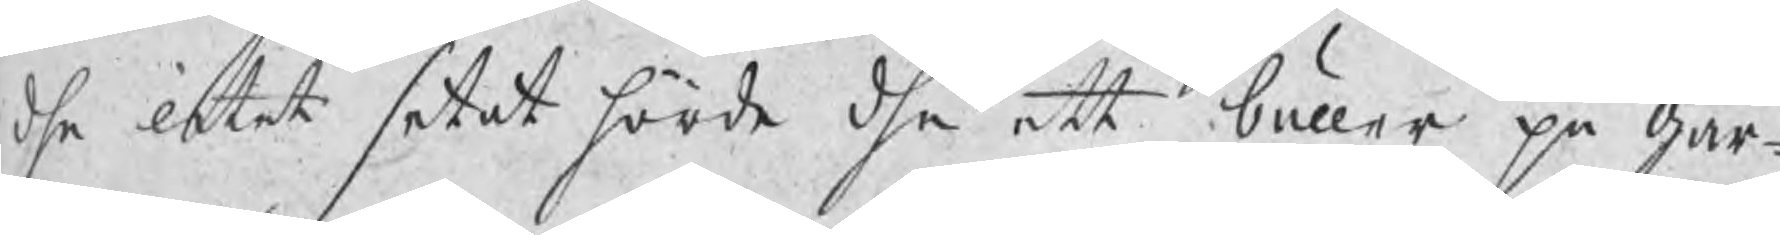dhe litet setat hörde dhe ett buller på går¬
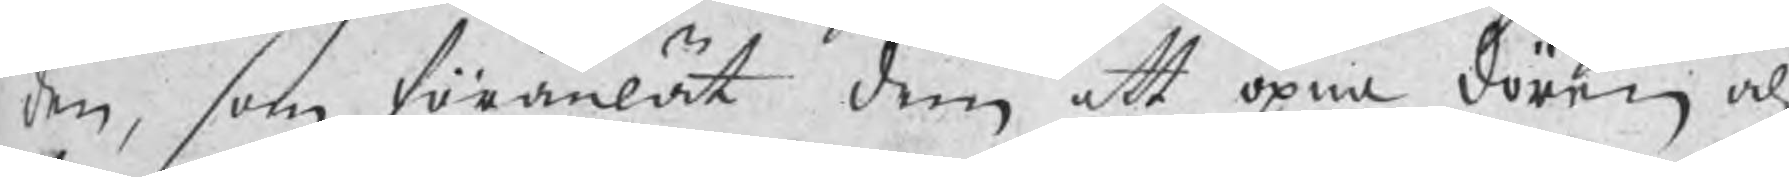den, som föranlät dem att öpna dören och
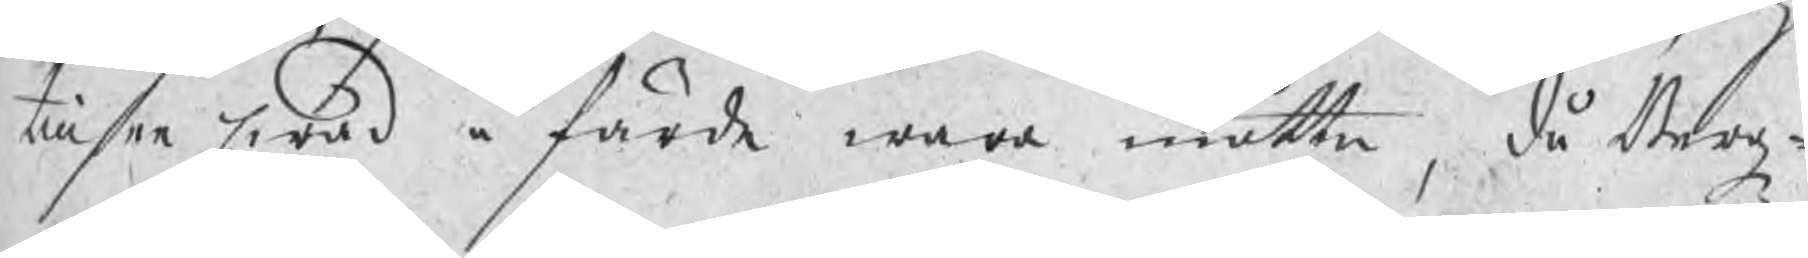tillsee hwad å färde wara måtte, då Bergz¬
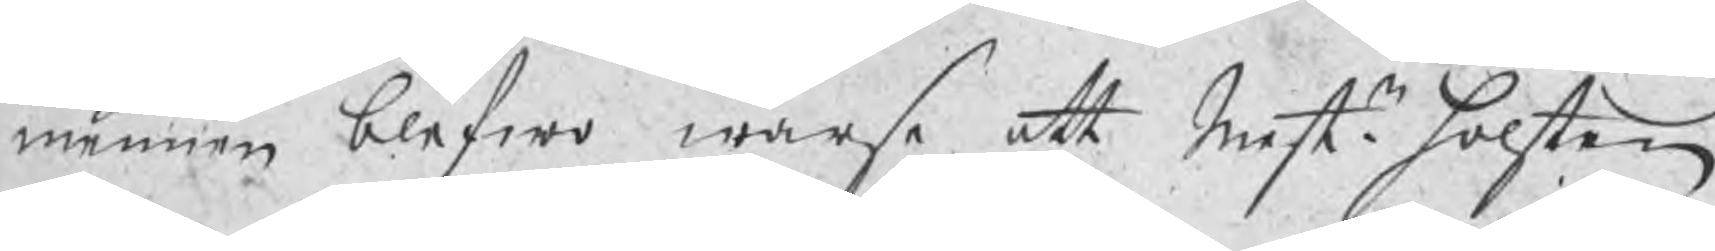mennen blefwo warse att Mestr. Holsten
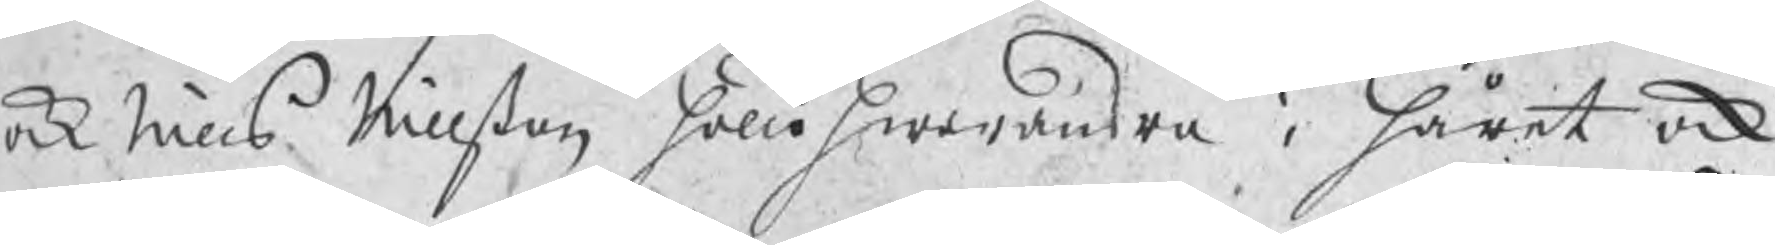ock Nills Nillßon höllo hwarandra i håret ock
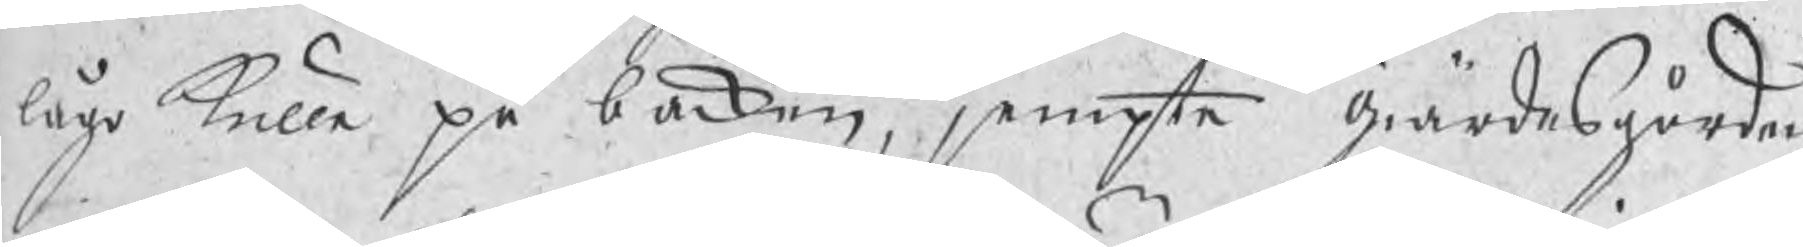lågo kulle på backen, jempte giärdesgården
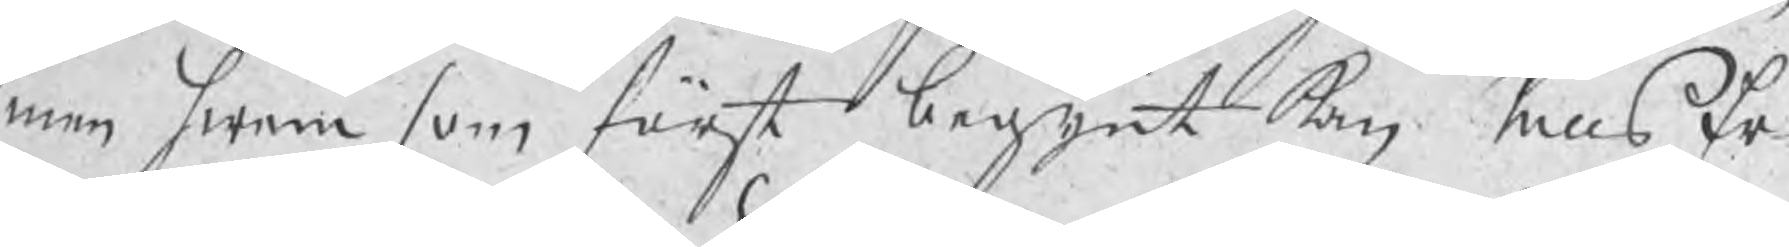men hwem som först begynt kan Nills Er
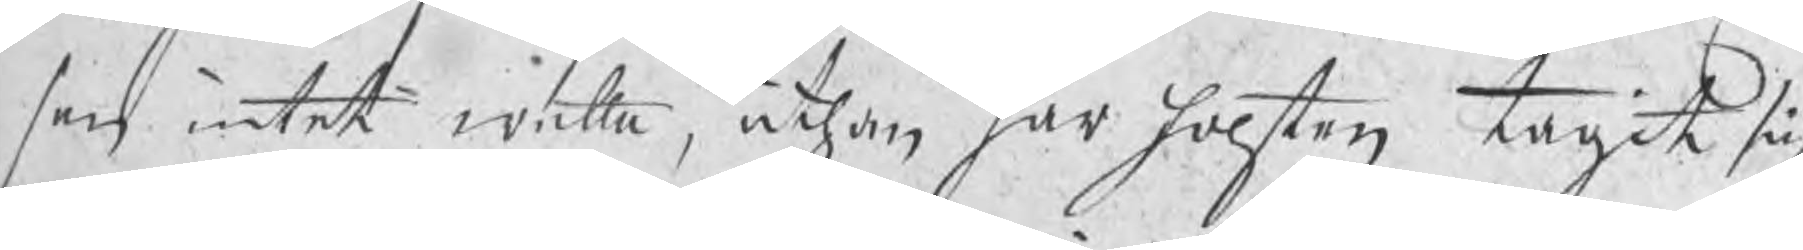son intet wetta, uthan har holsten tagit sig
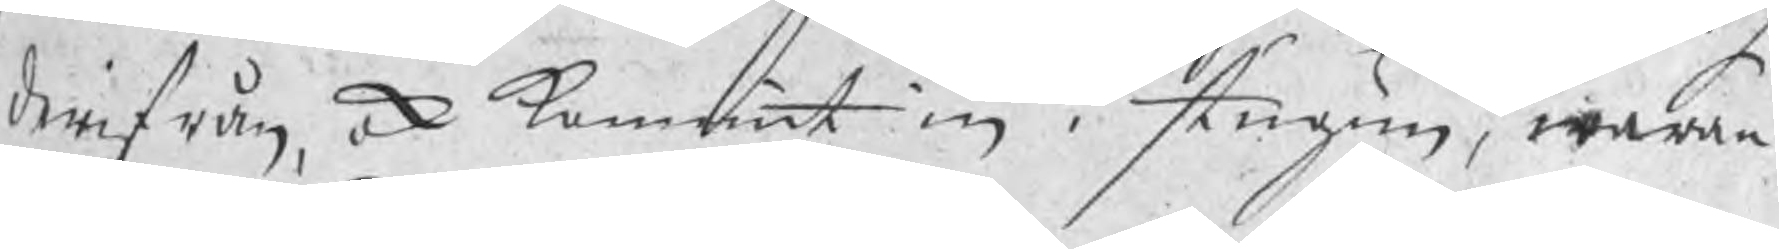derifrån, ock kommit in i stugun, waran¬
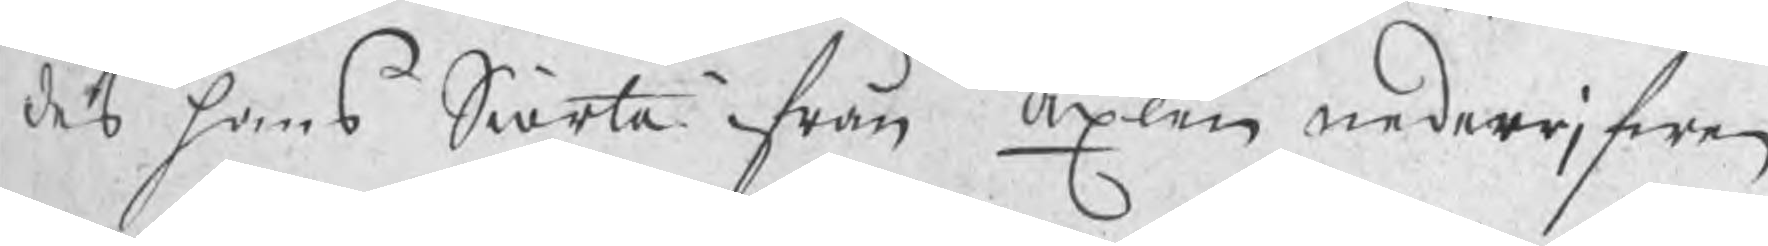des hans Siorta ifrån axlen nederrjfwen
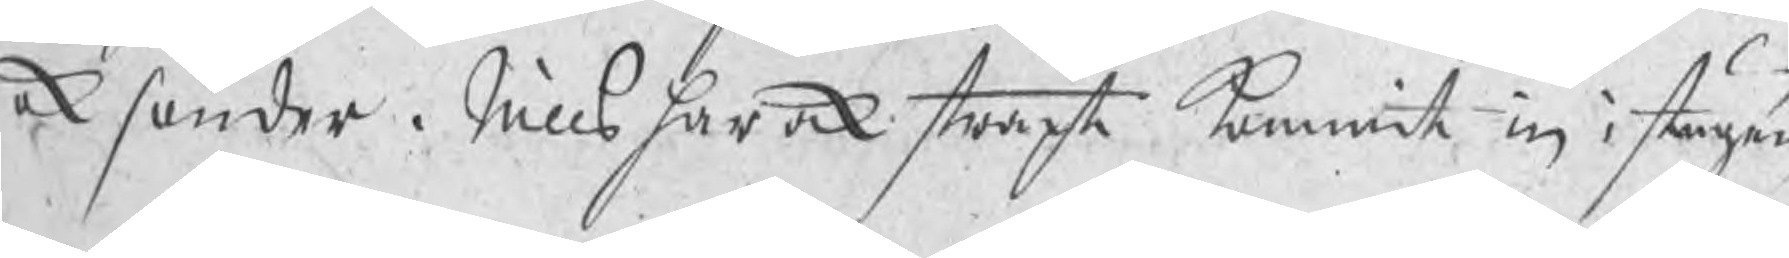ok sönder. Nills har ock straxt kommit in i stugun
